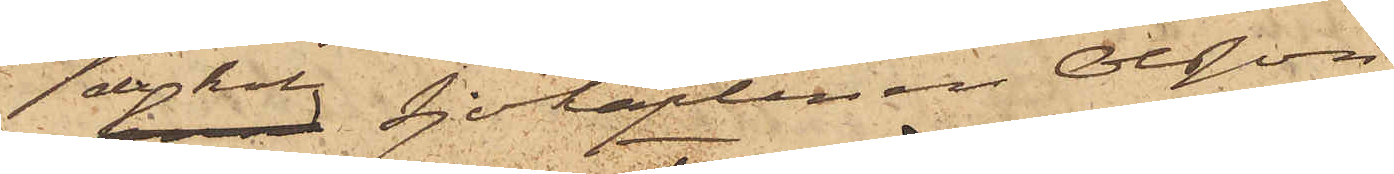den kol Sjökaptenen Olsson
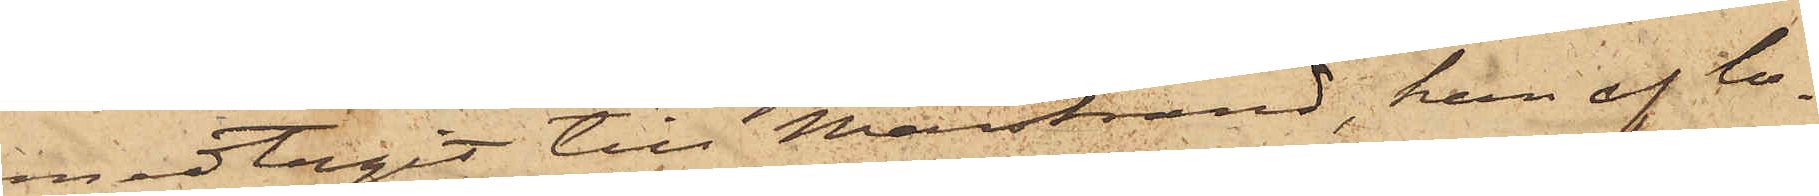medtagit till Marstrand, han af la¬
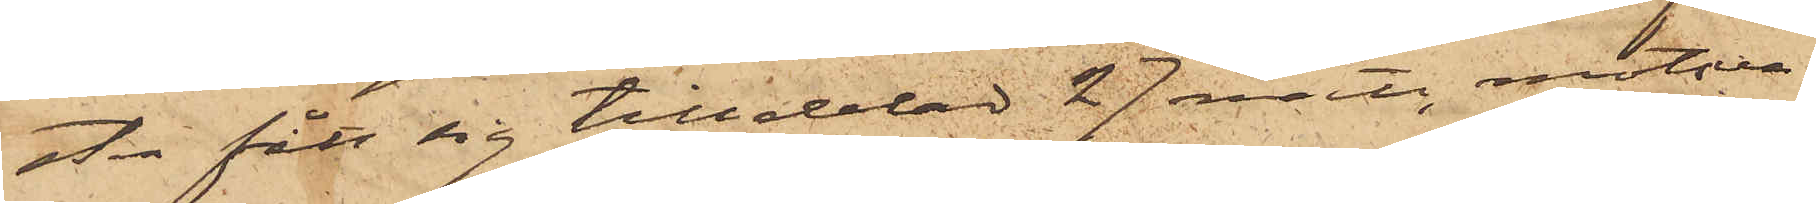sten fått sig tilldelad 27 mått, motsva¬
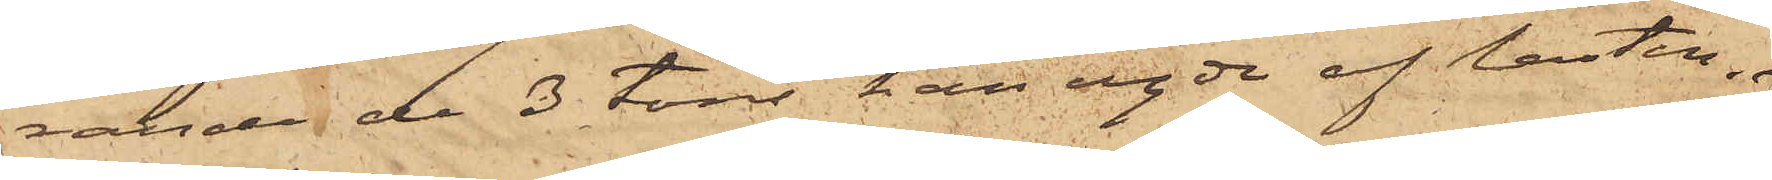rande de 3 tons han egde af lasten, 
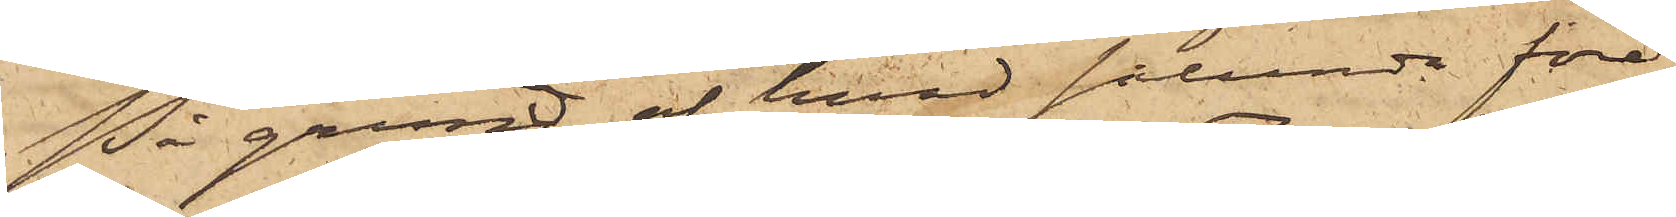På grund af hvad sålunda före¬
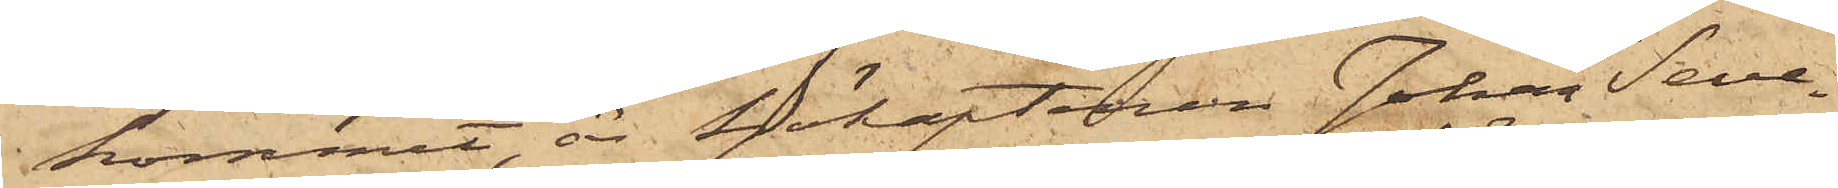kommit, är Sjökaptenen Johan Seve¬
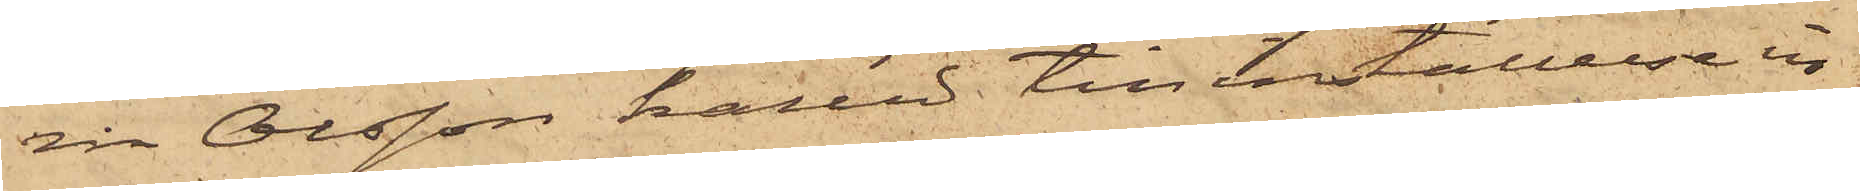rin Olsson kallad till inställelse in¬
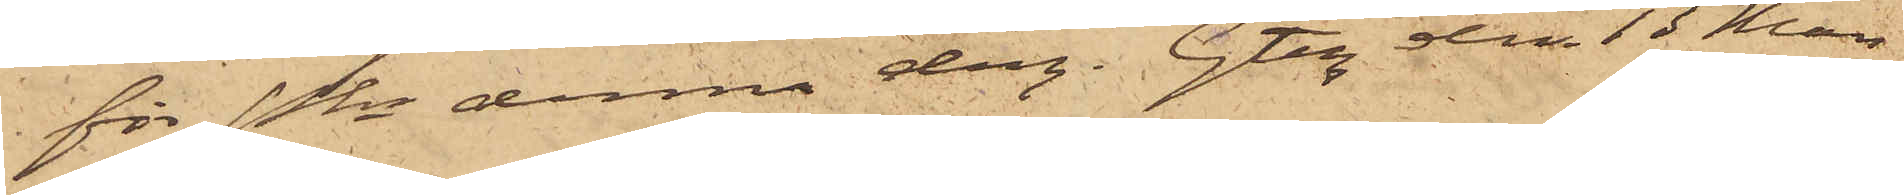för Pkn denna dag. Gtbg den 13 Mars
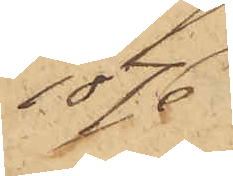1876.
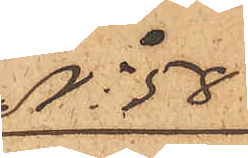No 58
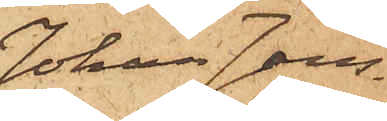Johan Jans¬
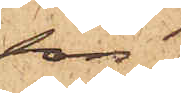son
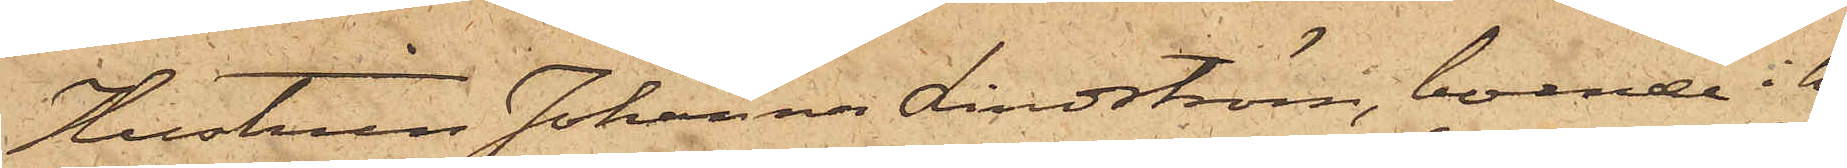Hustrun Johanna Lindström, boende i hu¬
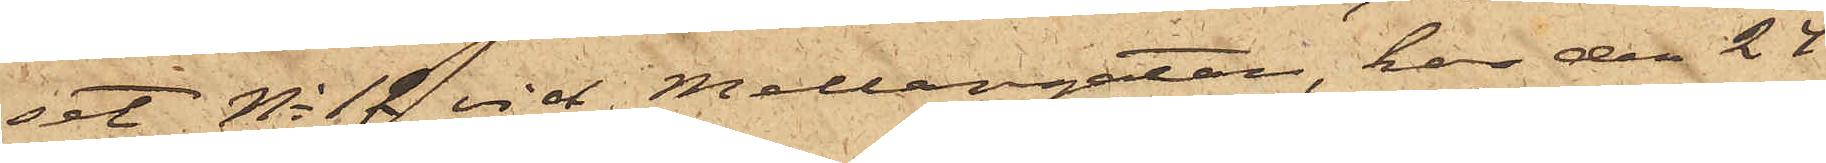set No 12 vid Mellangatan, har den 27
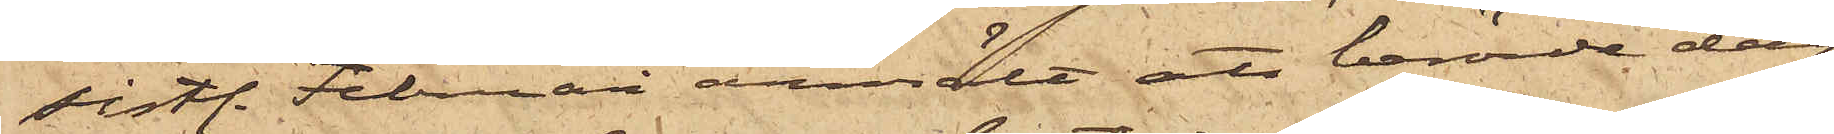sistl. Februari anmält att berörde dag
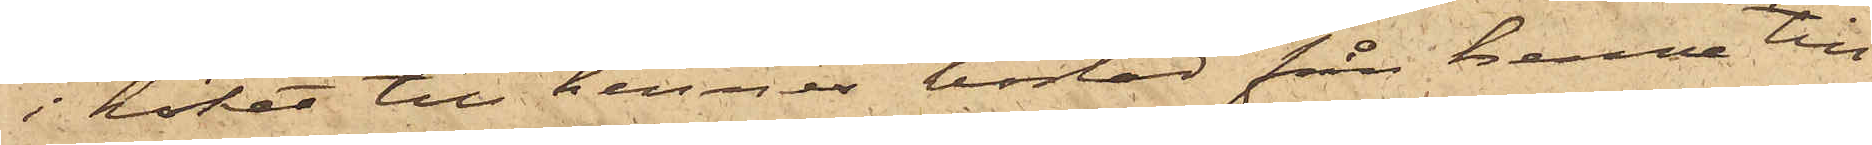i köket till hennes bostad från henne till¬
